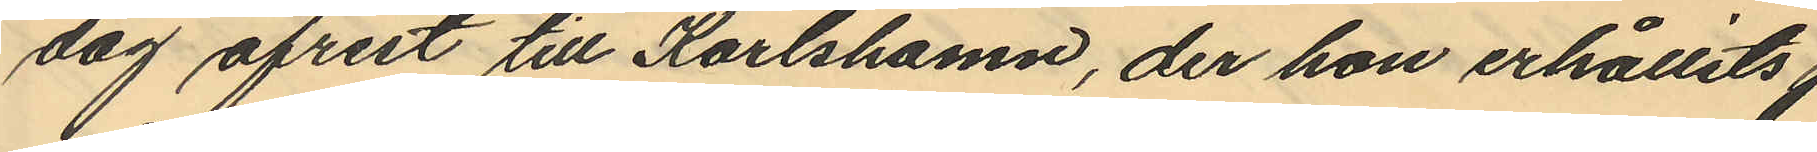dag afrest till Karlshamn, der hon erhållits
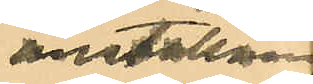anställning
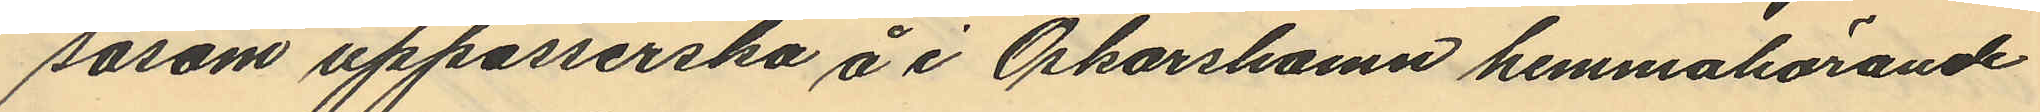såsom uppasserska å i Oskarshamn hemmahörande
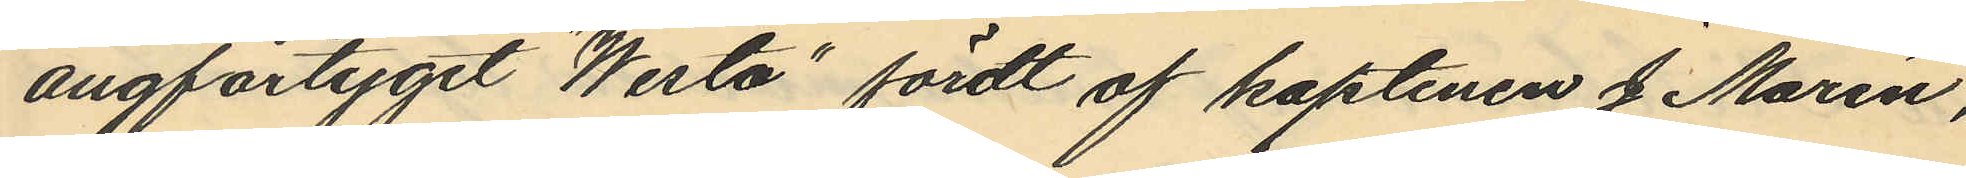ångfartyget "Westo" fördt af kaptenen J. Morén,
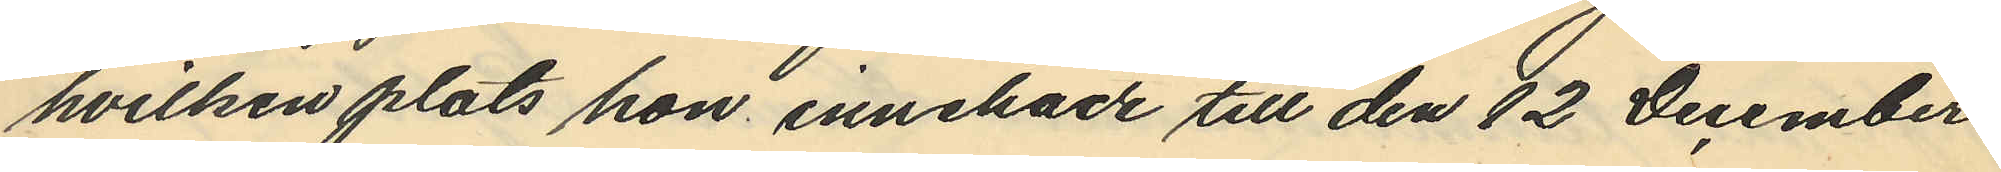hvilken plats hon innehade till den 12 December
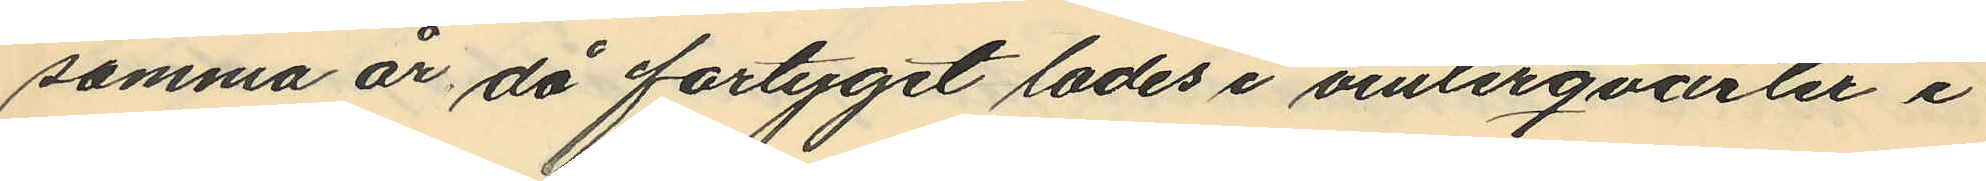samma år då fartyget lades i vinterqvarter i
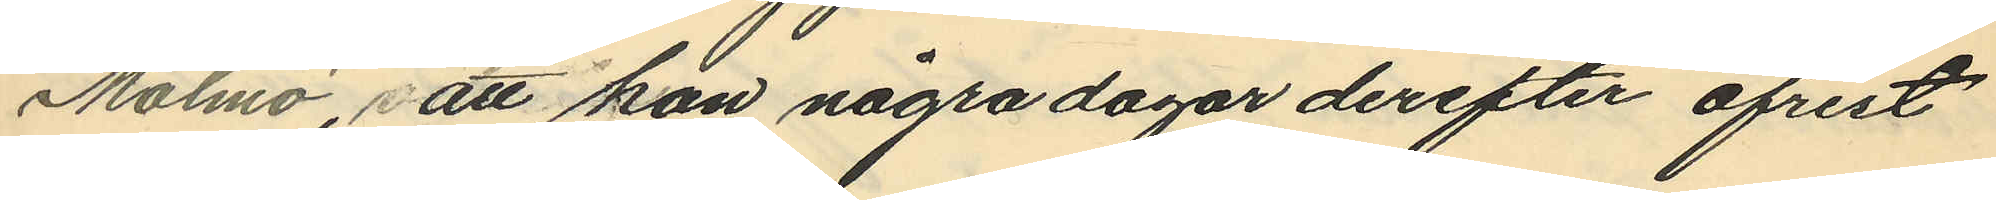Malmö, att hon några dagar derefter afrest
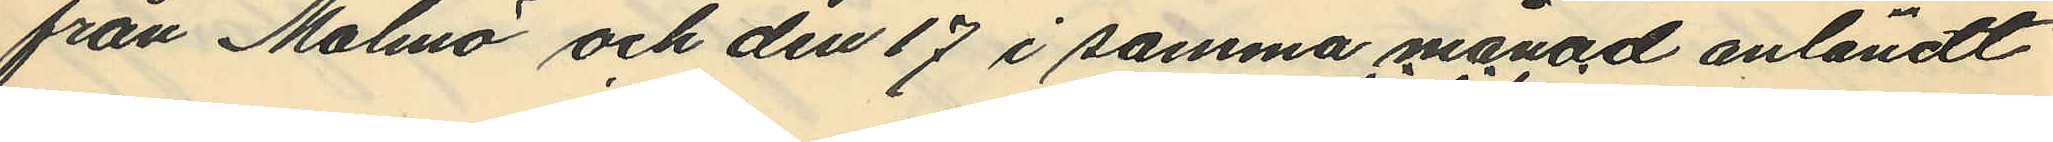från Malmö och den 17 i samma månad anländt
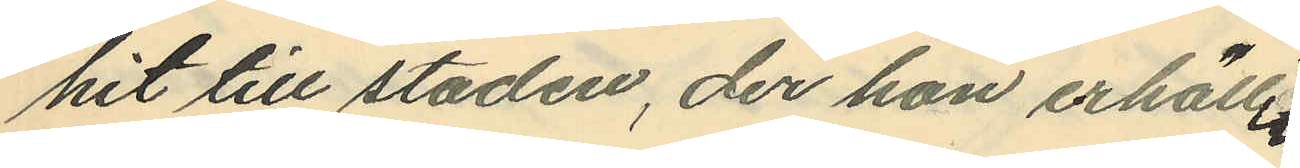hit till staden, der hon erhållit
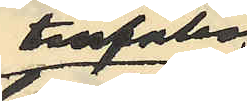tillfällig
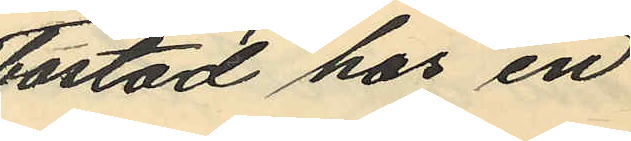bostad hos en
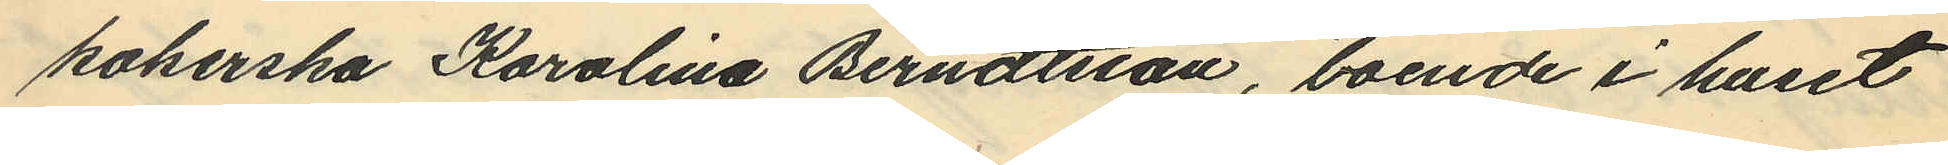kokerska Karolina Berndtsson, boende i huset
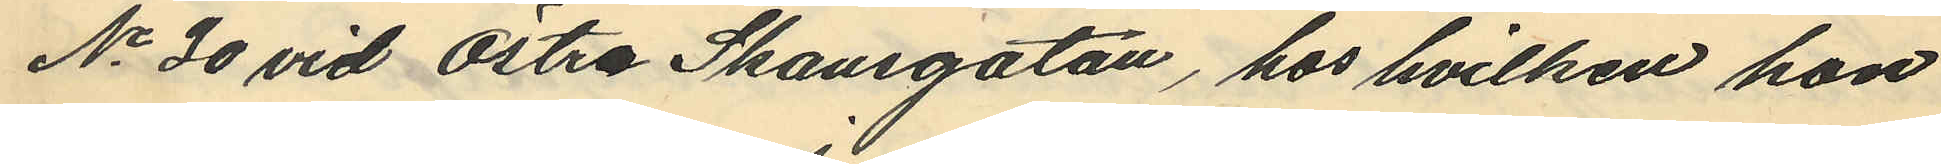No 30 vid Östra Skansgatan, hos hvilken hon
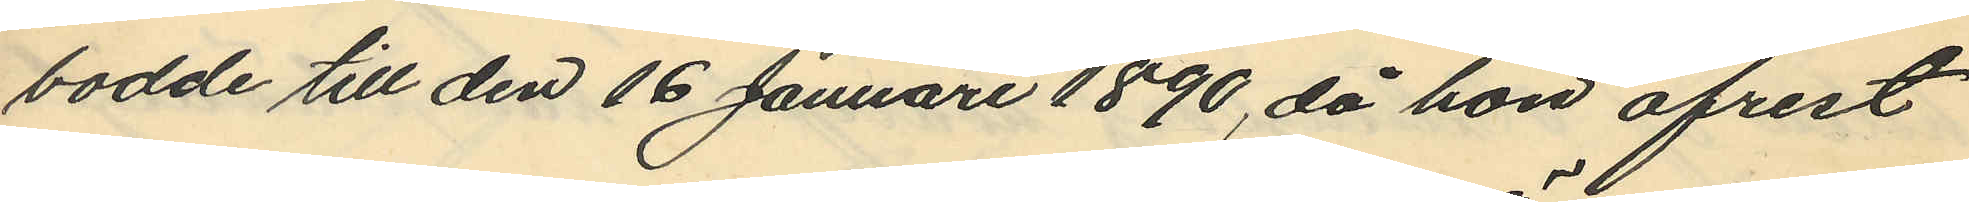bodde till den 16 Januari 1890, då hon afrest
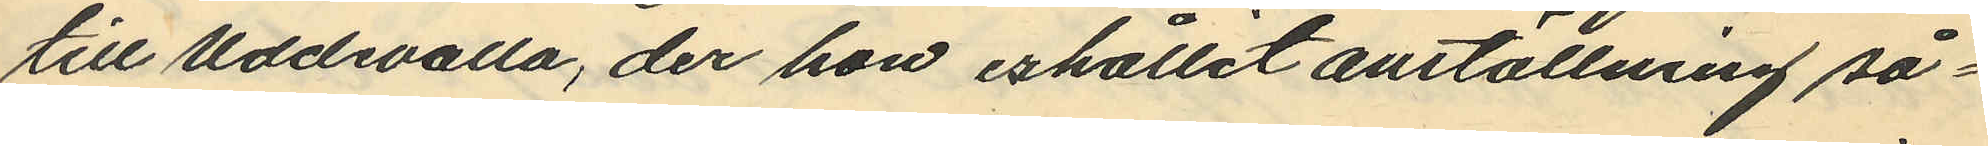till Uddevalla, der hon erhållit anställning så¬
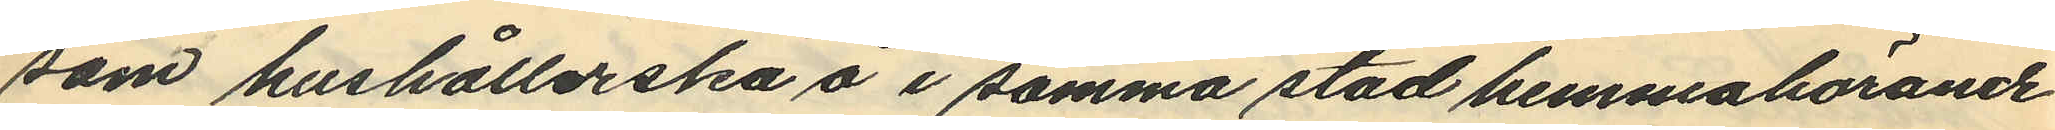som hushållerska å i samma stad hemmahörande
